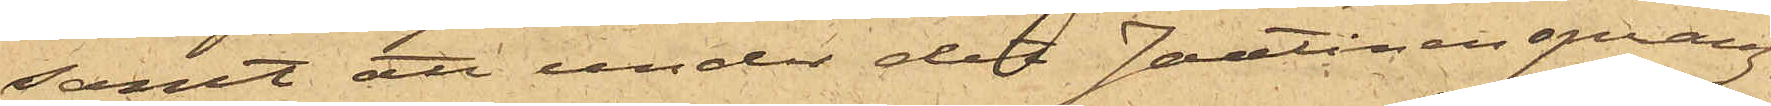samt att under det Jantinen sprang,
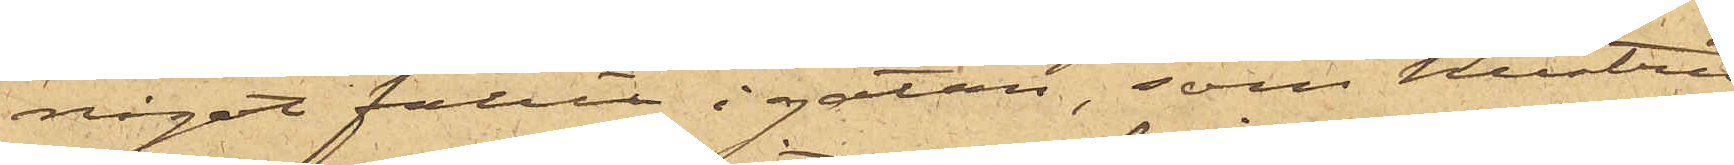något fallit i gatan, som hustrun
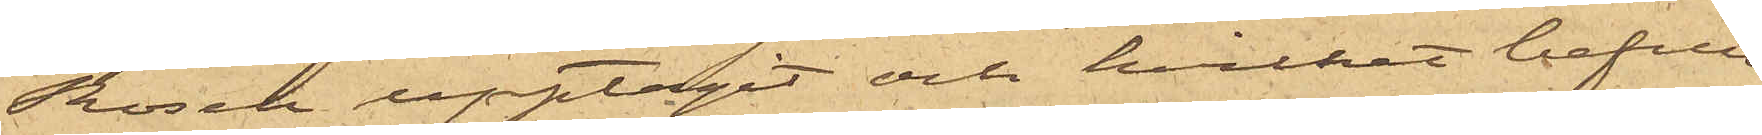Rosen upptagit och hvilket befun¬
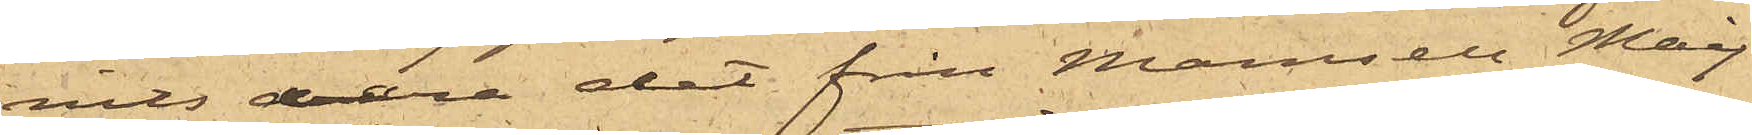nits vara det från Mamsell Maij-
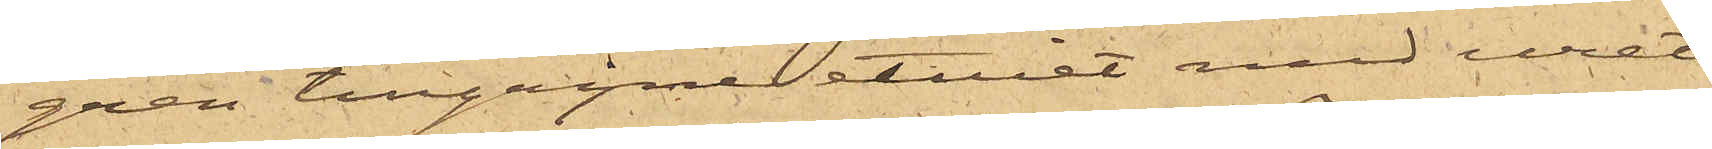gren tillgripne etuiet med uret;
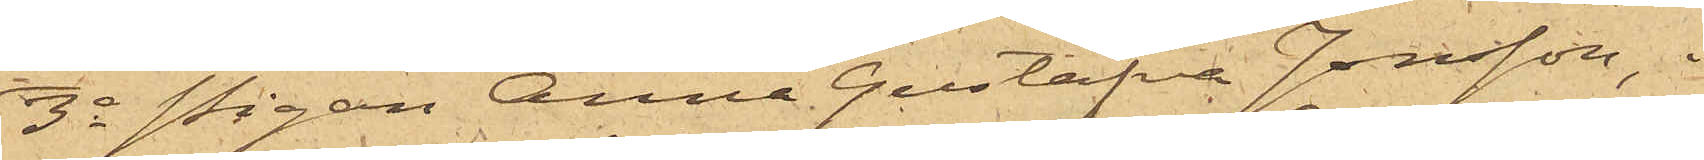3o Pigan Anna Gustafva Jonsson, i
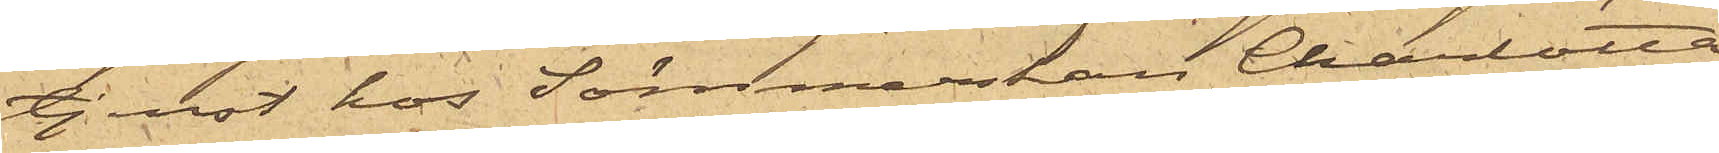tjenst hos Sömmerskan Charlotta
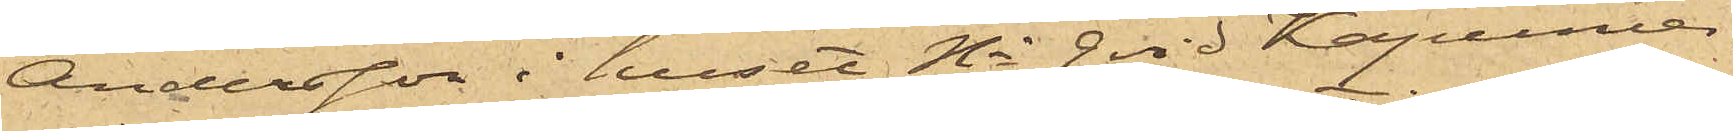Andersson i huset No 9 vid Kaponiärs¬
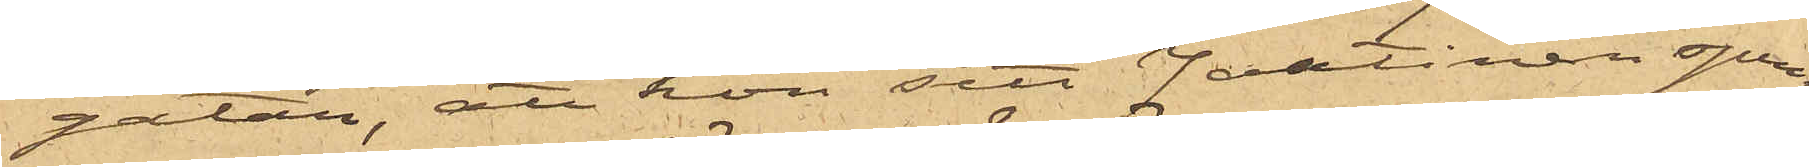gatan, att hon sett Jantinen sprin¬
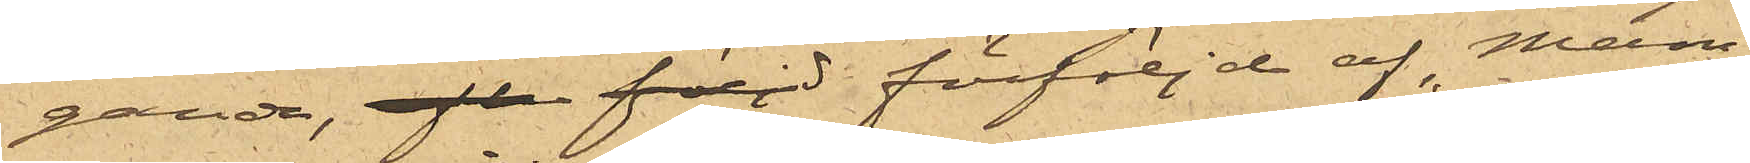gande, eft följd förföljd af Mam¬
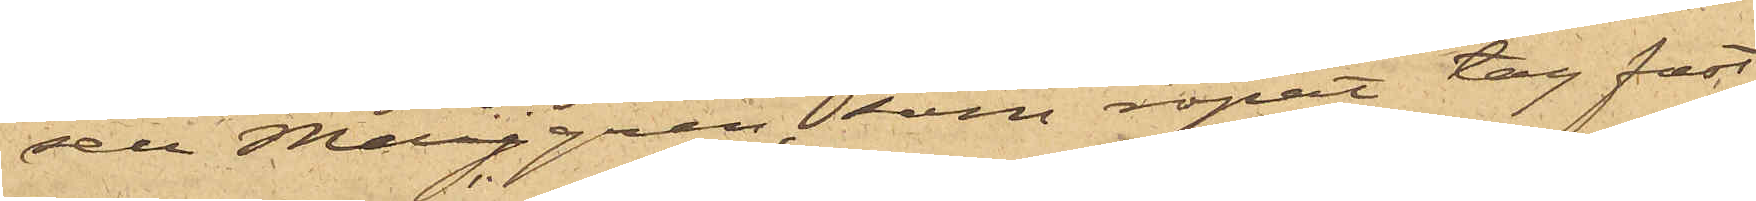sell Maijgren, som ropat "tag fast
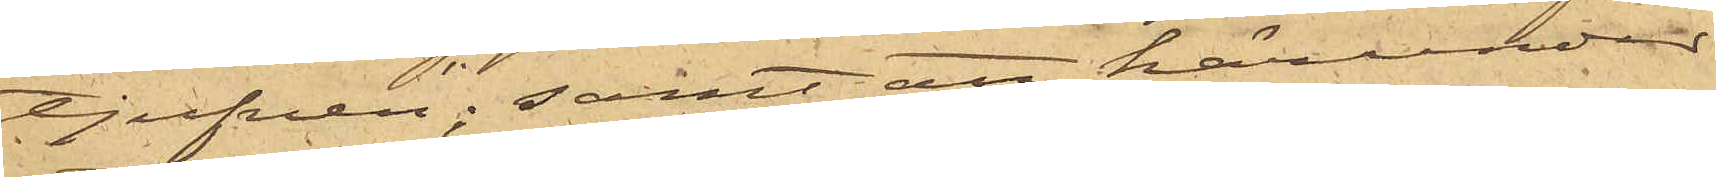tjufven"; samt att härunder
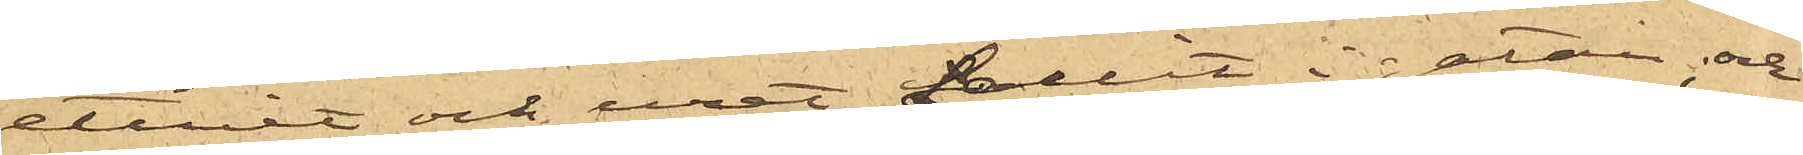etuiet och uret fallit i gatan; och
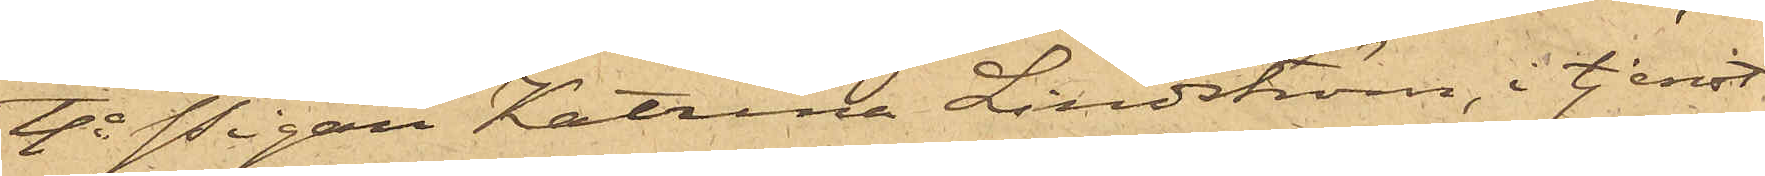4o Pigan Katrina Lindström, i tjenst
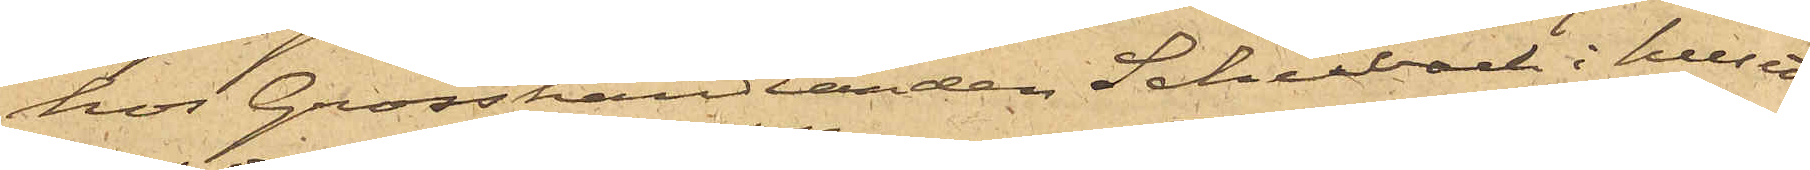hos Grosshandlanden Schubach i huset
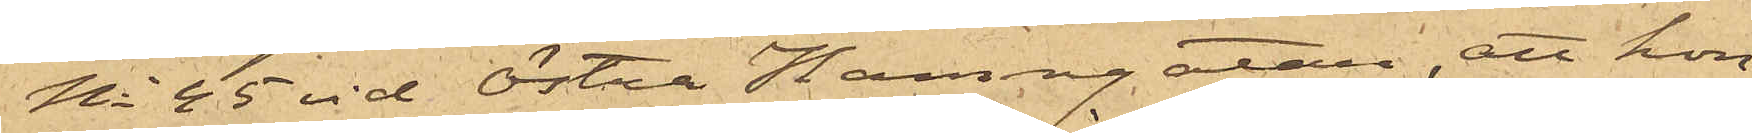No 45 vid Östra Hamngatan, att hon
